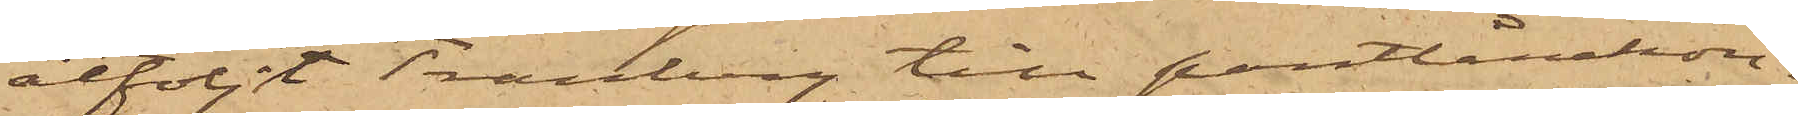åtföljt Tranberg till pantlånekon¬
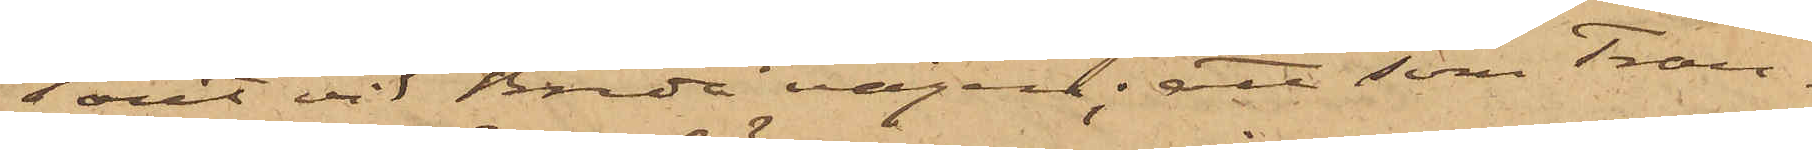toret vid Breda vägen; att som Tran¬
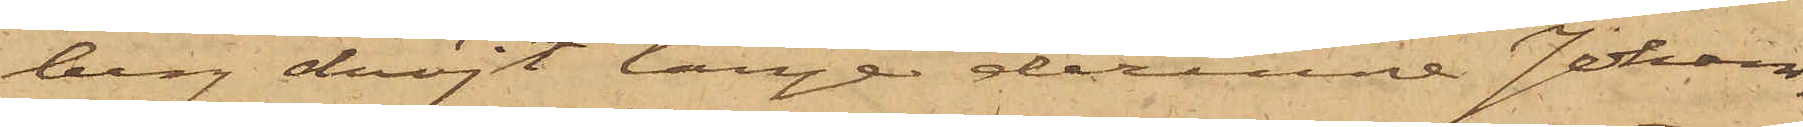berg dröjt länge derinne Johans¬
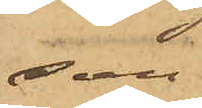son
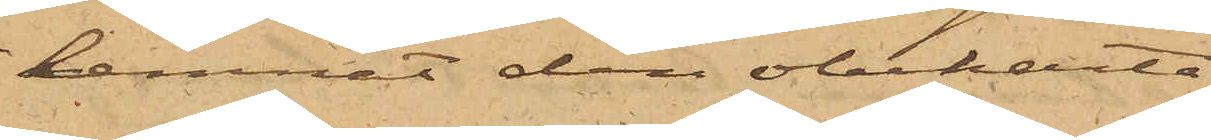lemnat den obekanta
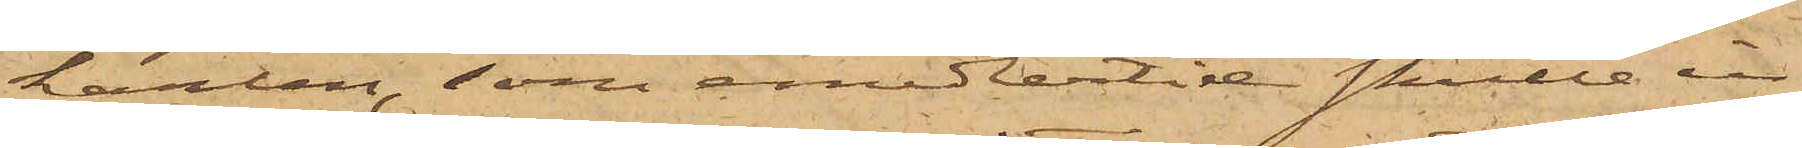karlen, som emedlertid skulle in¬
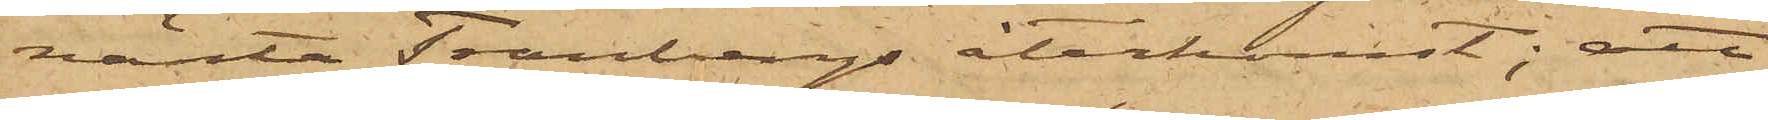vänta Tranbergs återkomst; att
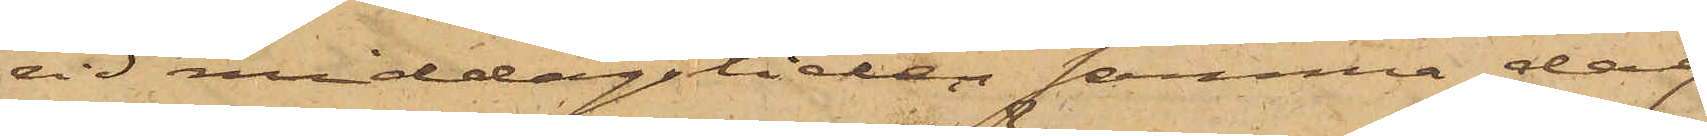vid middagstiden samma dag
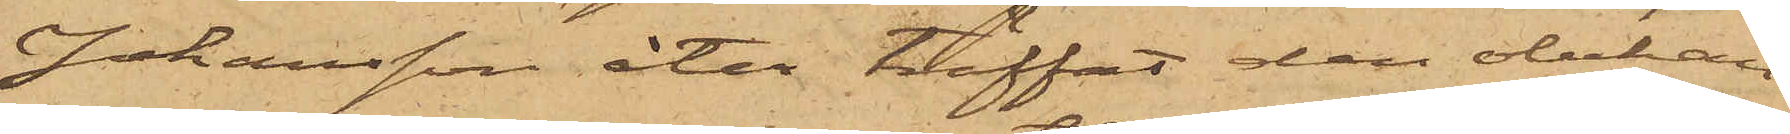Johansson åter träffat den obekan¬
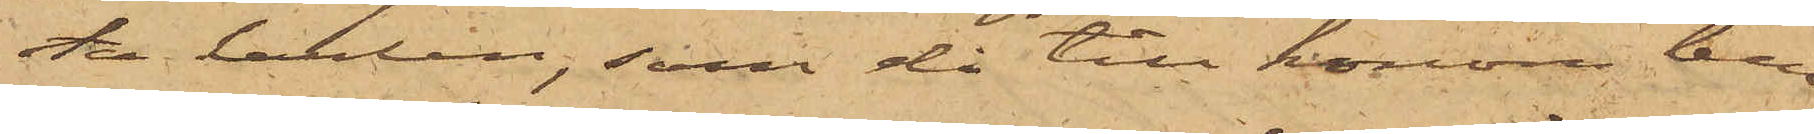ta karlen, som då till honom lem¬
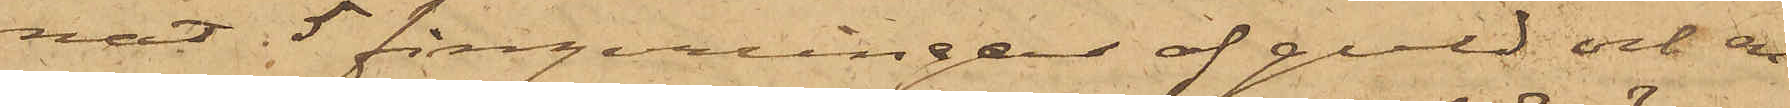nat 5 fingerringar af guld och en
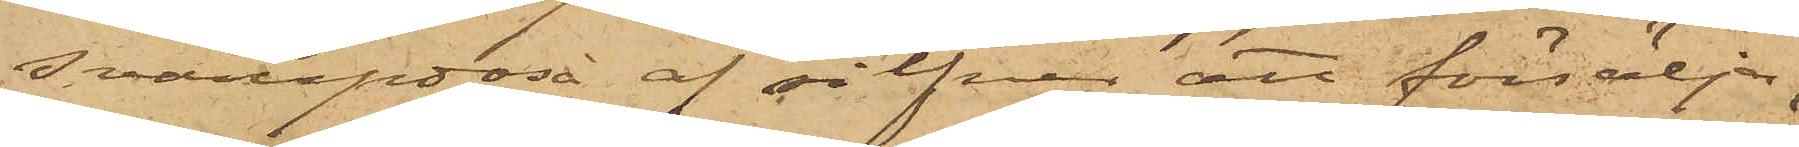svampdosa af silfver att försälja;
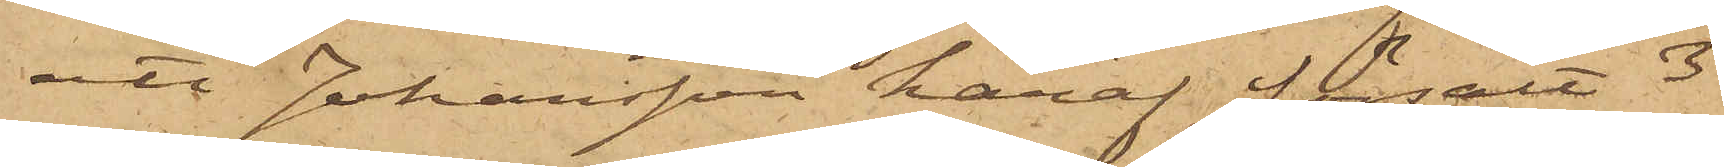att Johansson häraf försålt 3
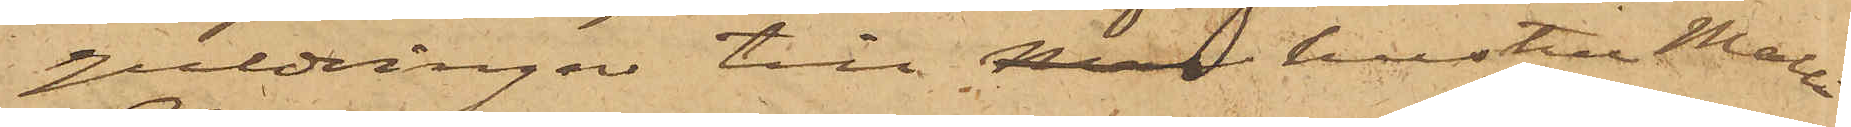guldringar till Ma hustru Malli
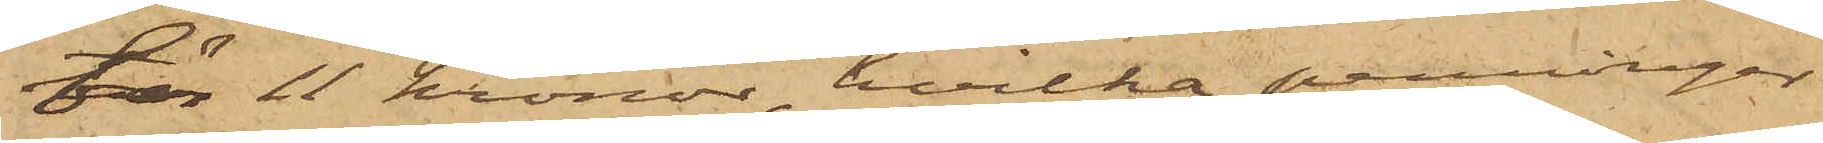för 11 kronor, hvilka penningar
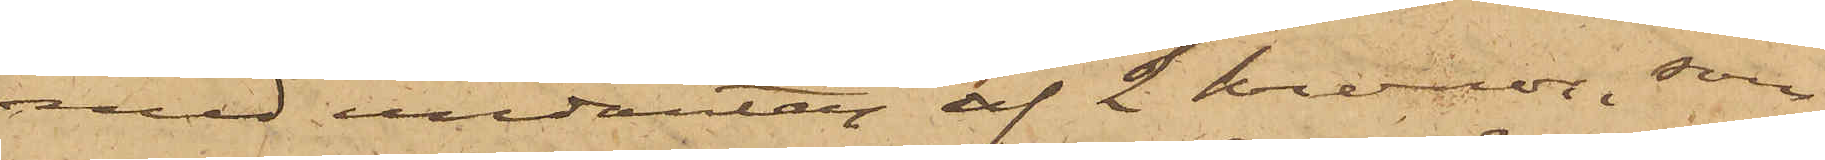med undantag af 2 kronor, som
